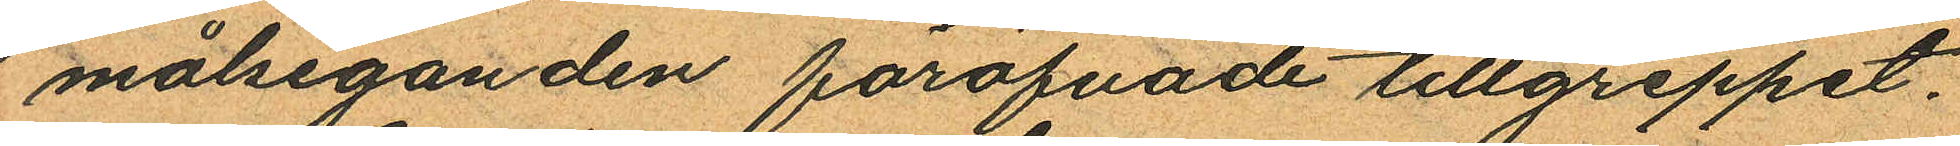målseganden föröfvade tillgreppet.
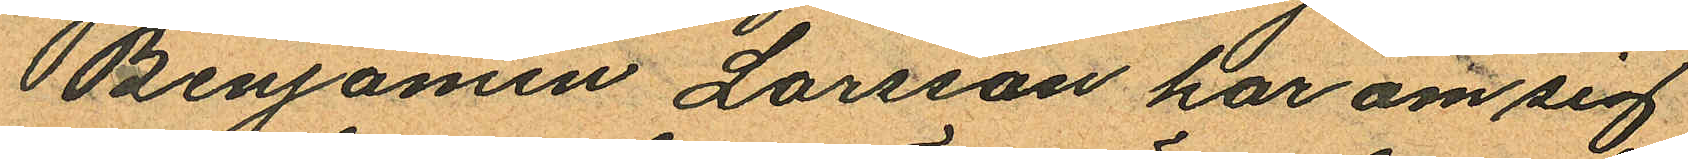Benjamin Larsson har om sig
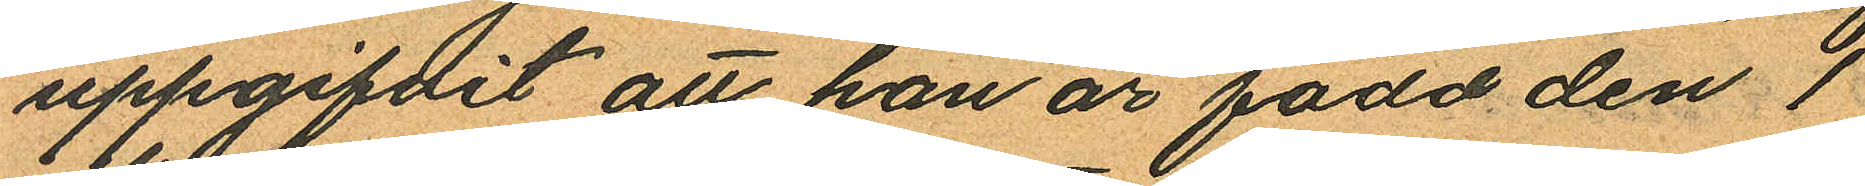uppgifdit att han är född den 1
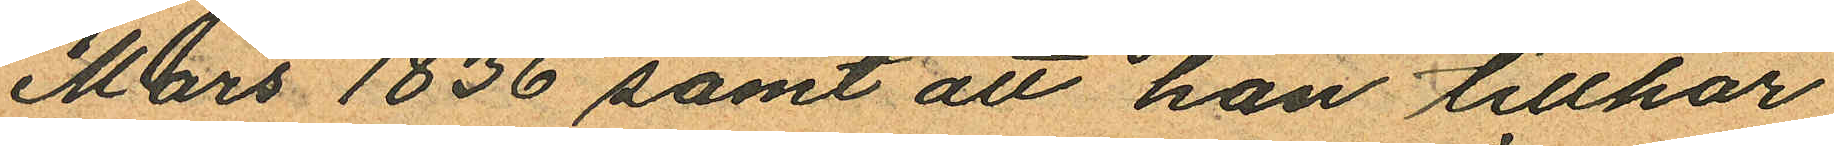Mars 1836 samt att han tillhör
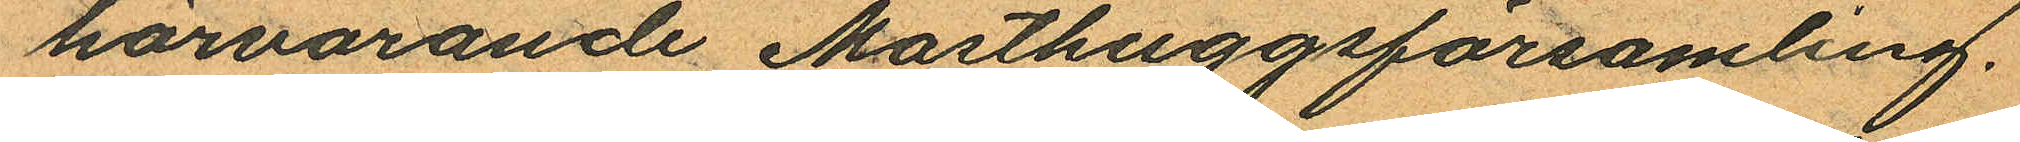härvarande Masthuggsförsamling.
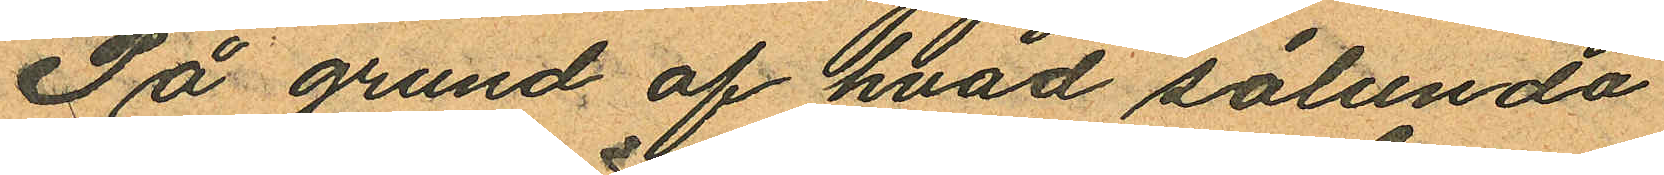På grund af hvad sålunda
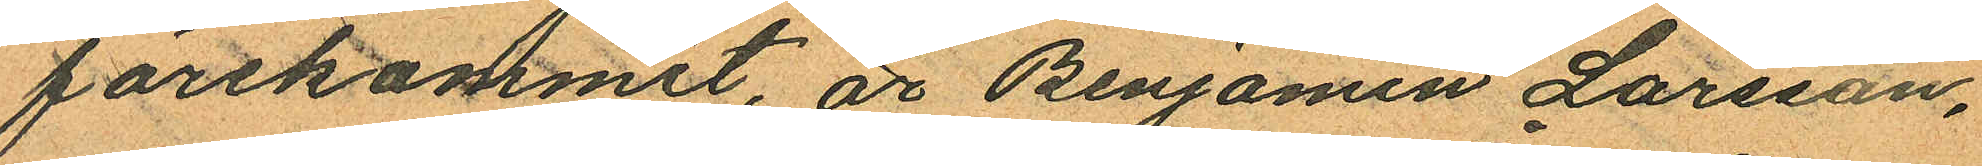förekommit, är Benjamin Larsson,
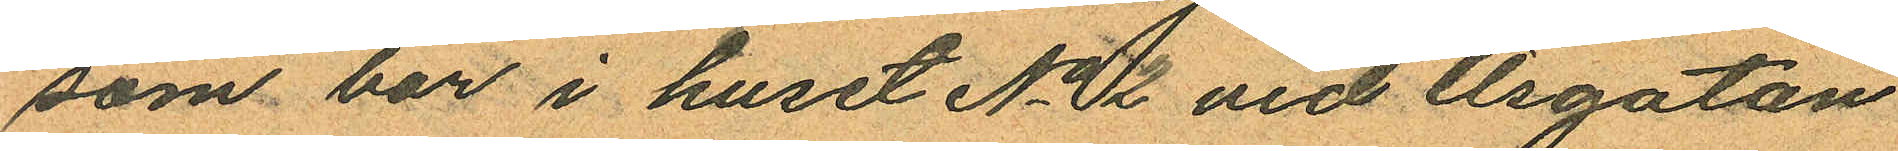som bor i huset No 12 vid Åsgatan
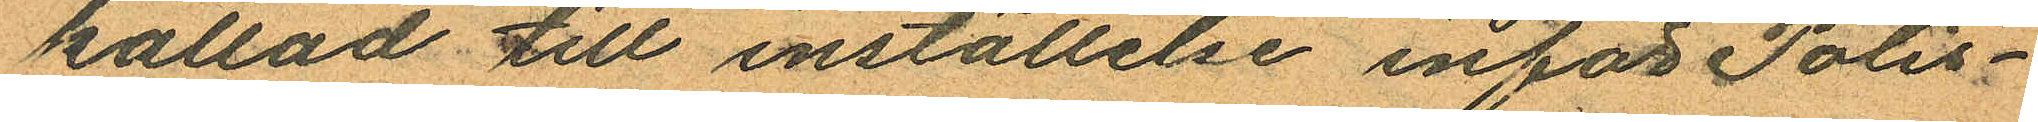kallad till inställelse inför Polis¬
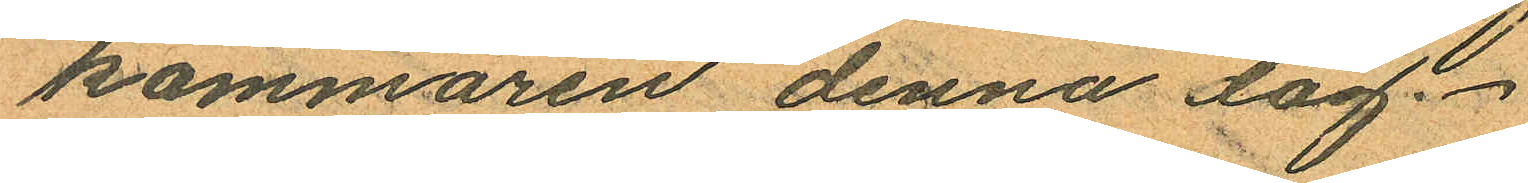kammaren denna dag.
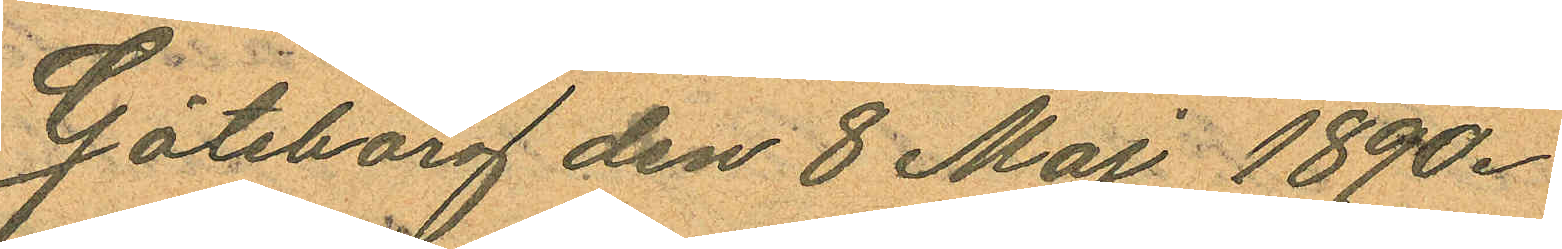Göteborg den 8 Maj 1890.
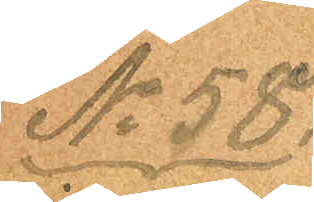No 58.
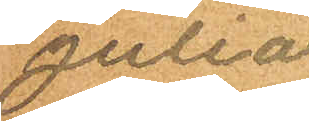Julia
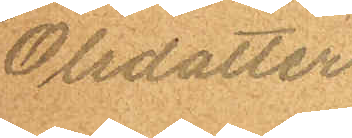Olsdotter
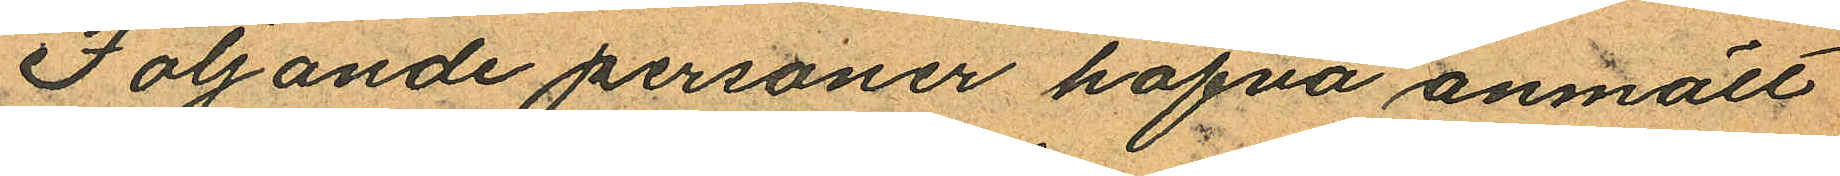Följande personer hafva anmält
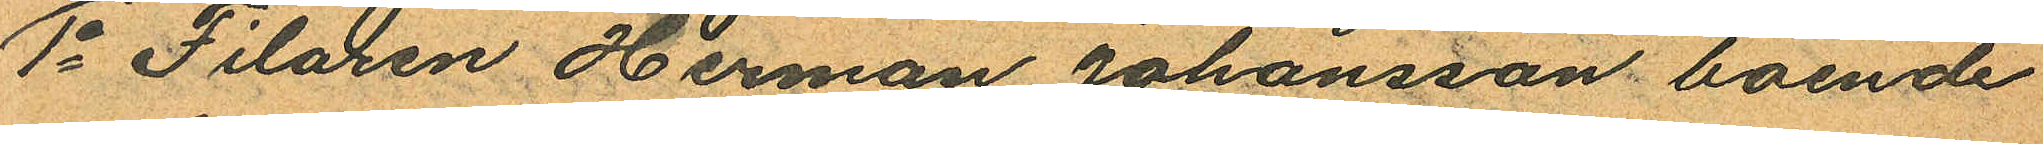1o Filaren Herman Johansson boende
